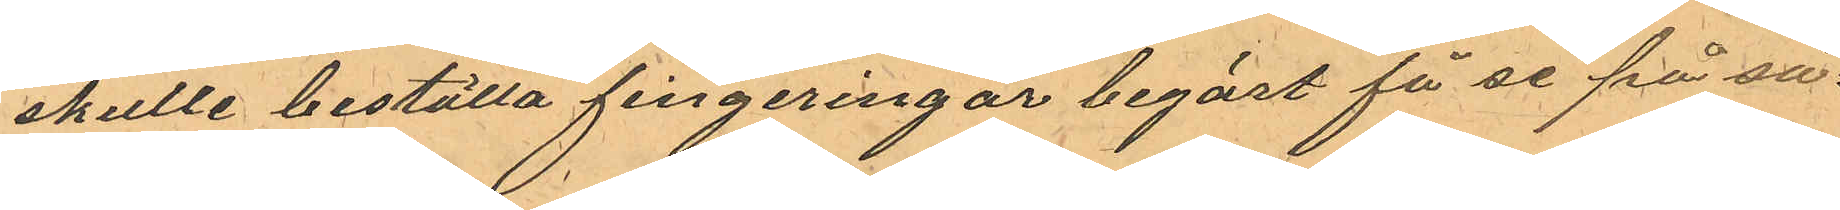skulle beställa fingeringar begärt få se på så¬
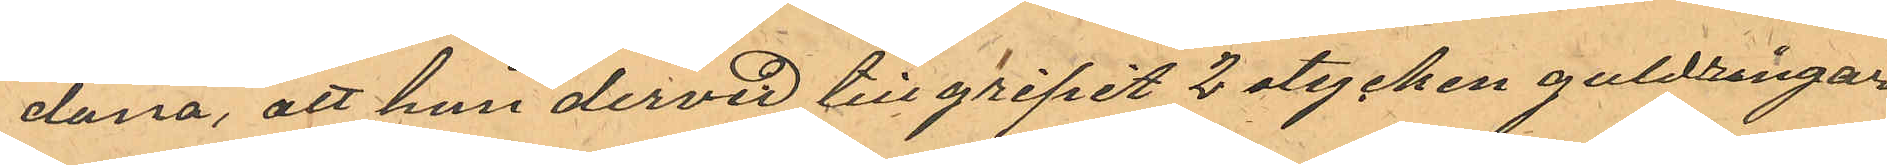dana, att hon dervid tillgripit 2 stycken guldringar
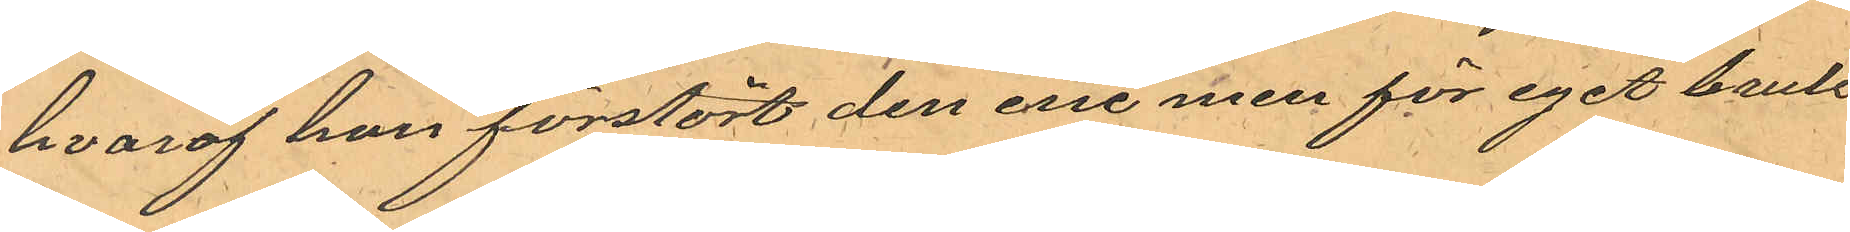hvaraf hon förstört den ene men för eget bruk
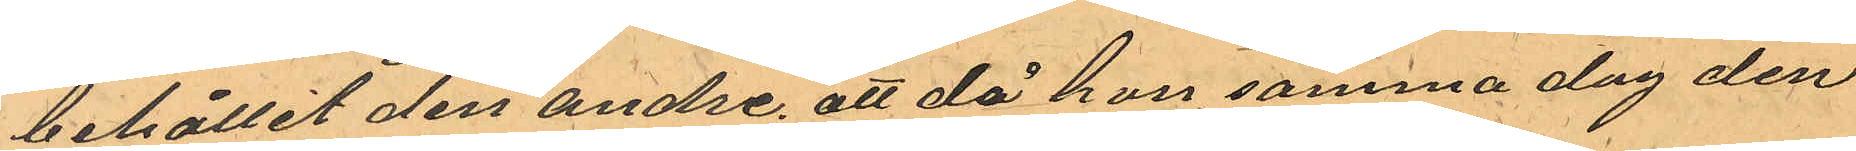behållit den andre, att då hon samma dag den
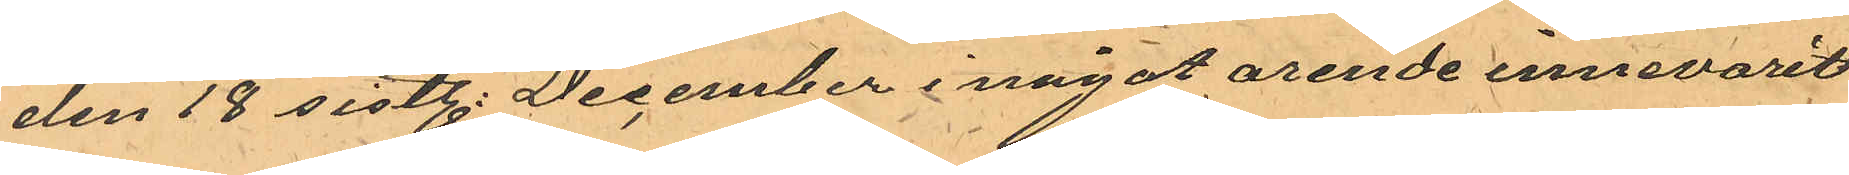den 18 sistl. December i något arende innevarit
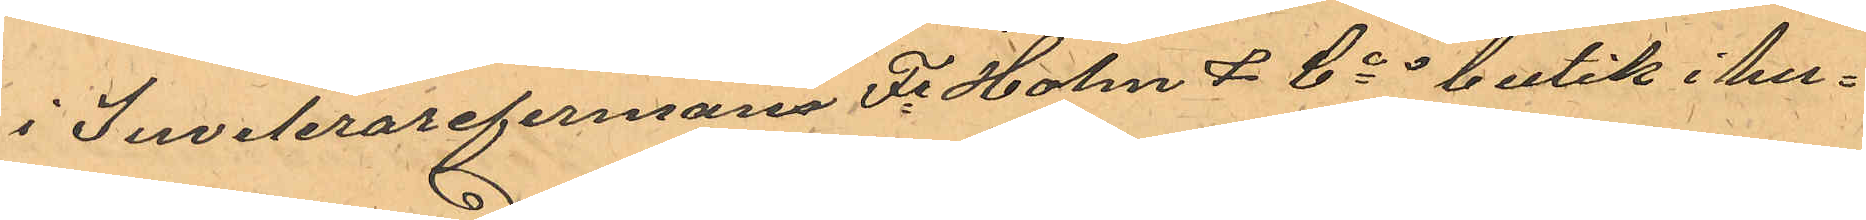i Juvelerarefirman Fr Holm & Cos butik i hu¬
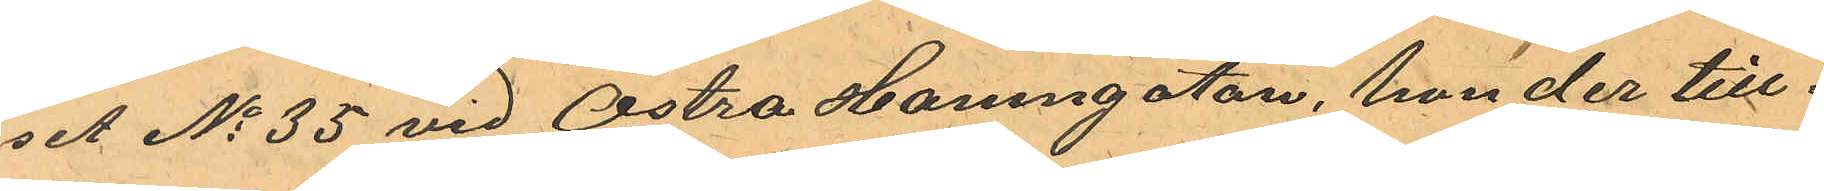et No 35 vid Östra Hamngatan, hon der till¬
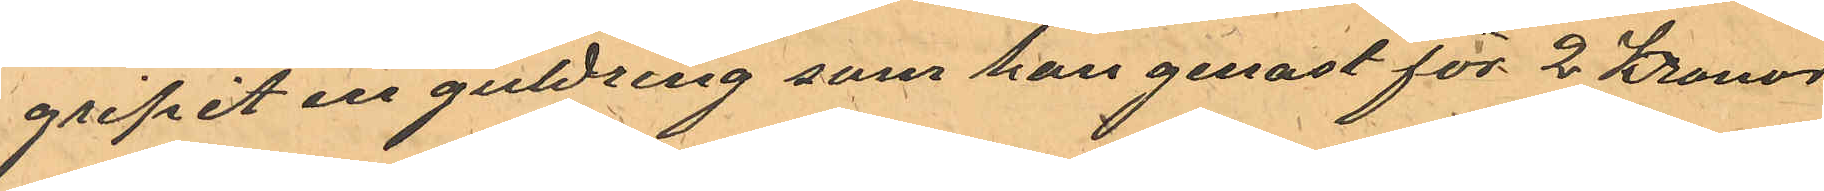gripit en guldring som hon genast för 2 Kronor
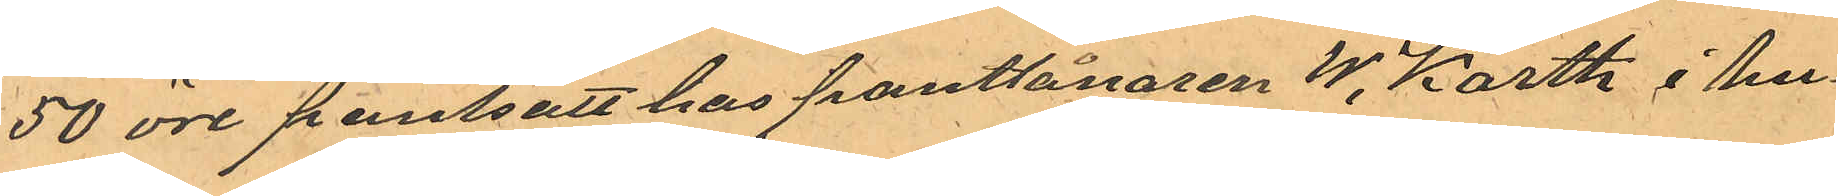50 öre pantsatt hos pantlånaren W. Karth i hu¬
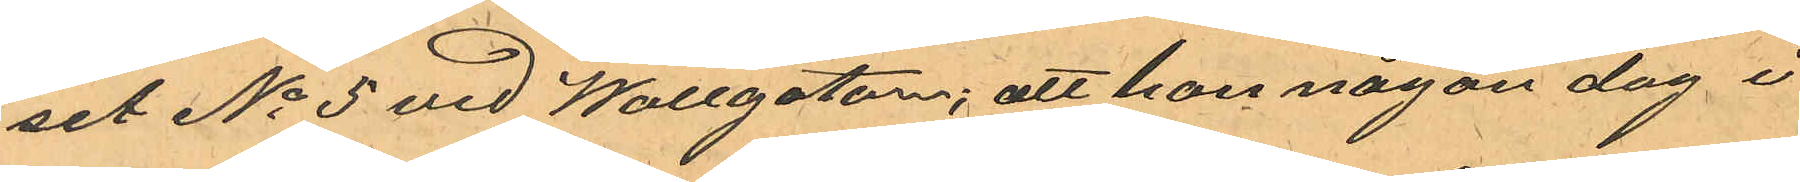set No 5 vid Wallgatan; att hon någon dag i
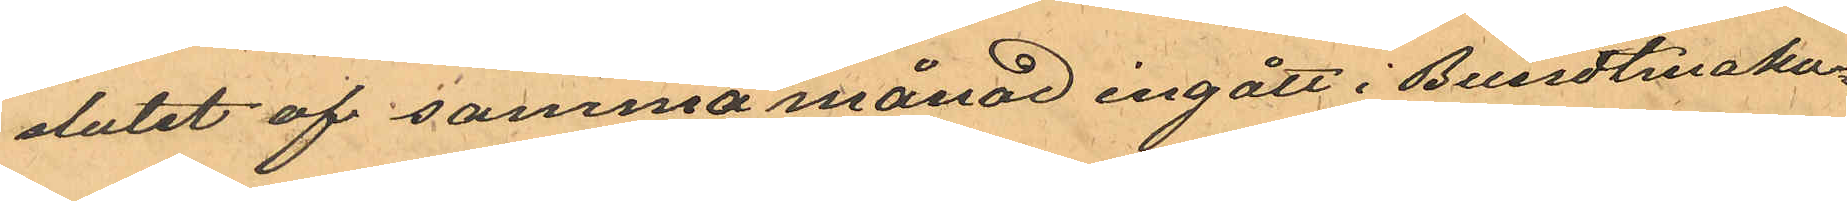slutet af samma månad ingått i Bundtmaka¬
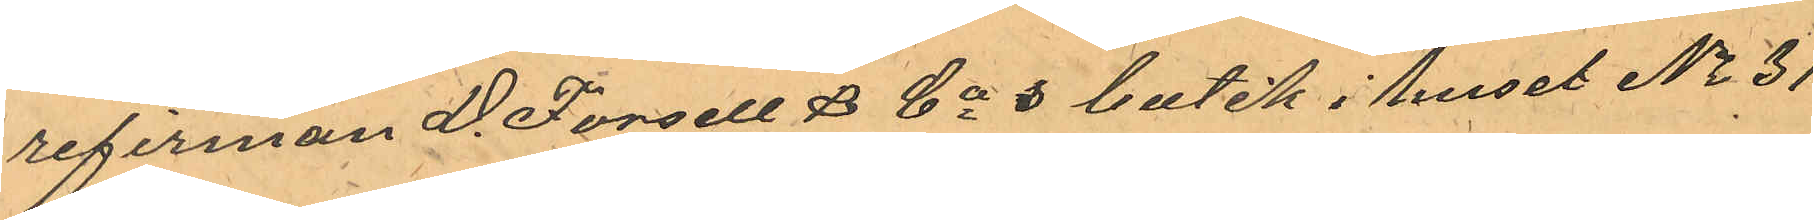refirman D. Forsell & Cos butik i huset No 31
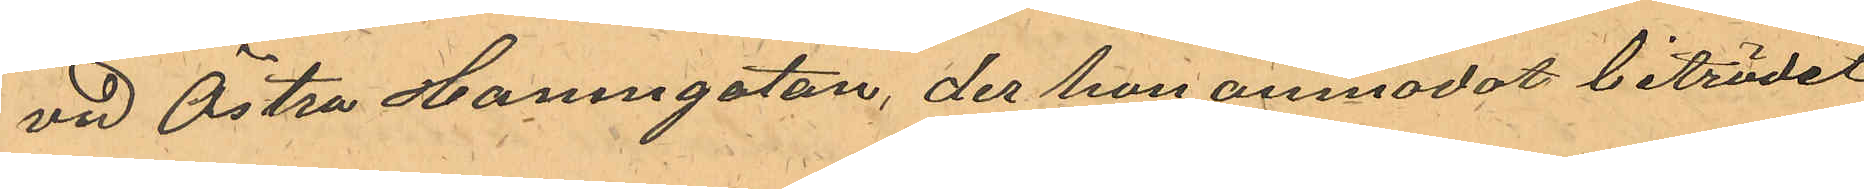vid Östra Hamngatan, der hon anmodat biträdet
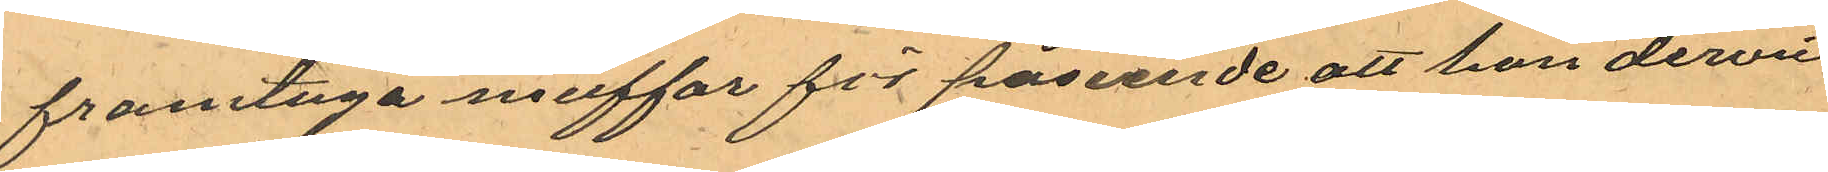framtaga muffar för påseende att hon dervid
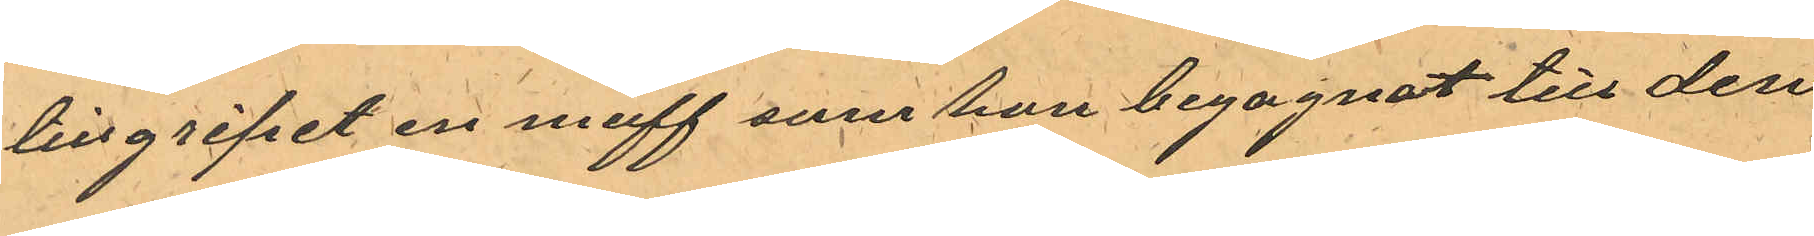tillgripit en muff som hon begagnat till den
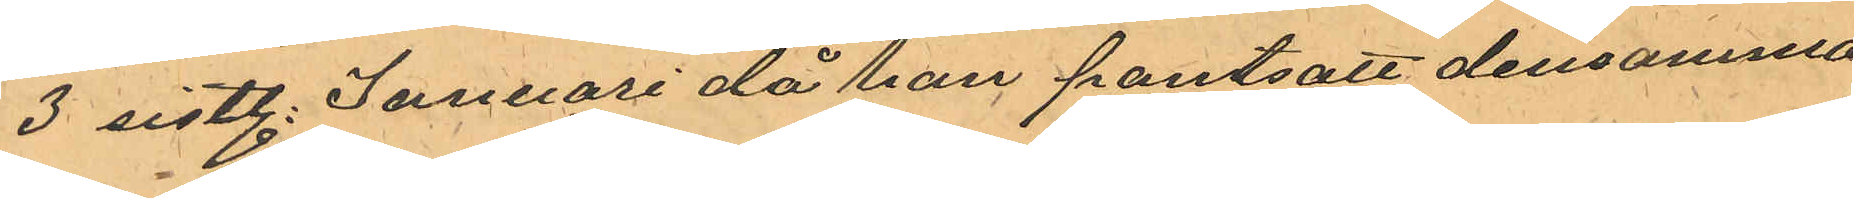3 sistl. Januari då hon pantsatt densamma
